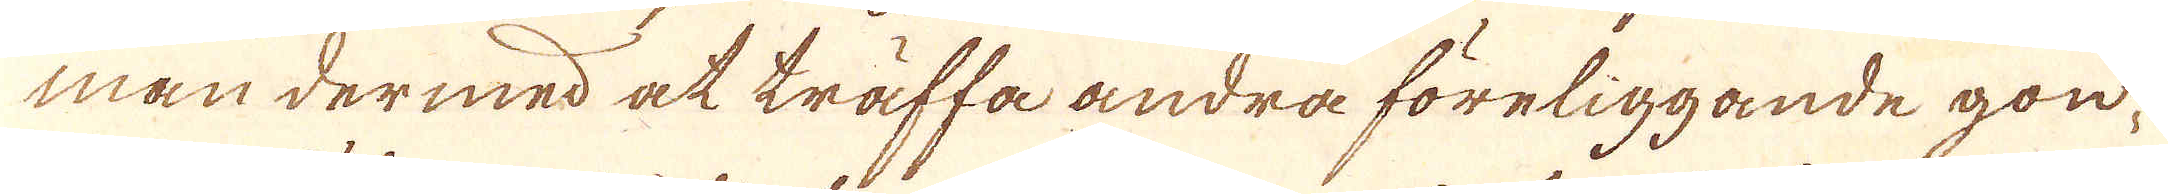man dermed at träffa andra föreliggande gon-
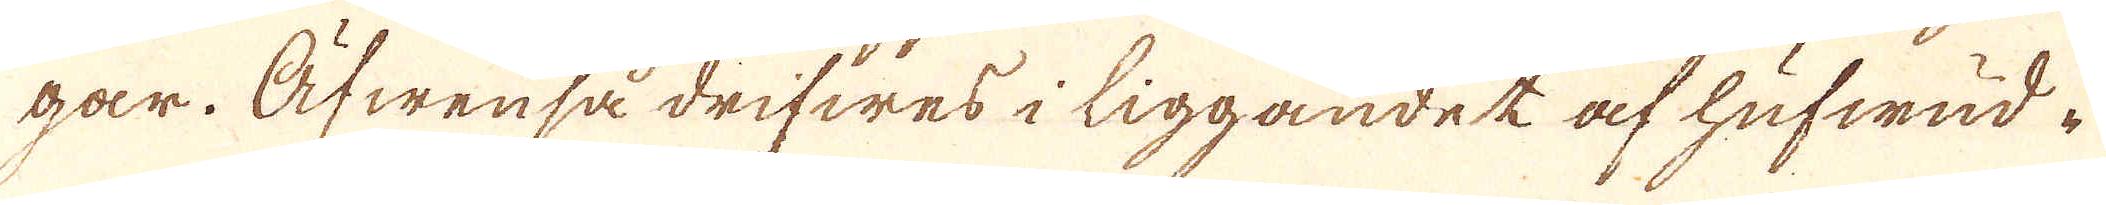går. Äfwen så drifwes i liggandet af hufwud-
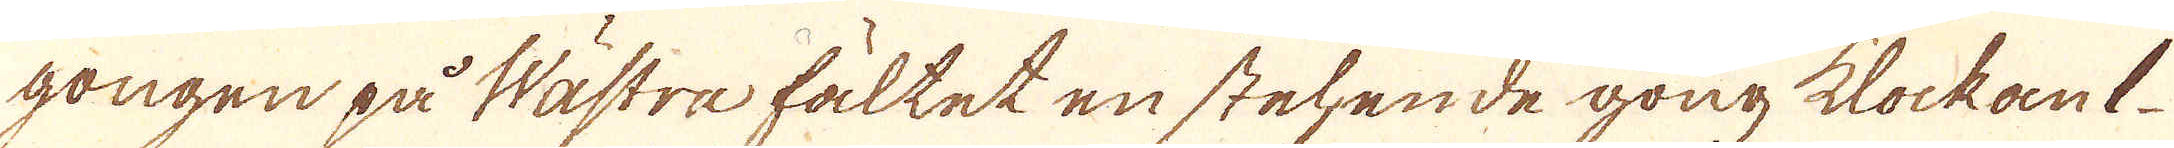gongen på Wästra fältet en stehende gong klockant
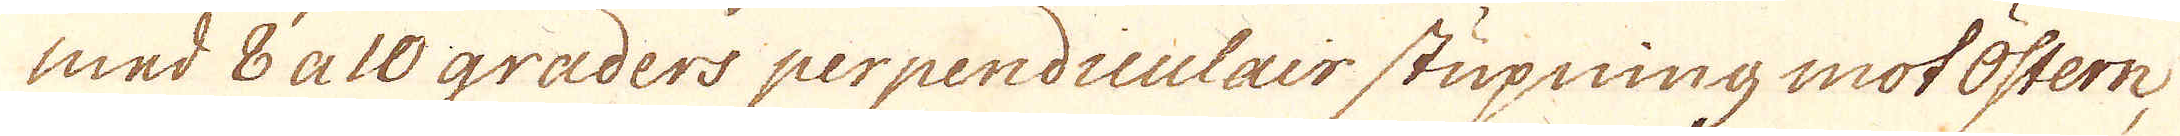med 8 a 10 graders perpendiculair stupning mot östern,
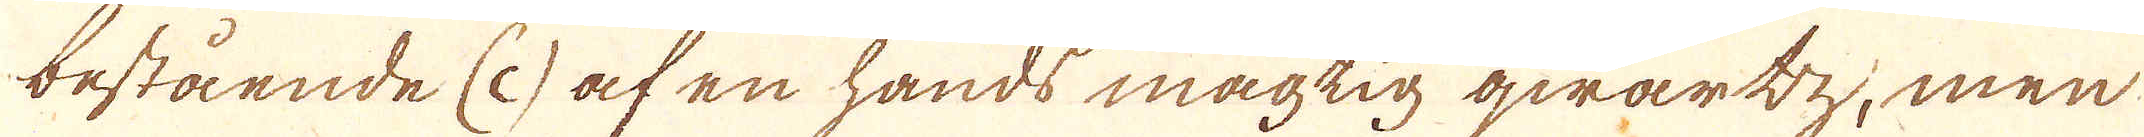bestående (c) af en hands mägtig qwartz; men
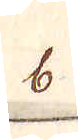b
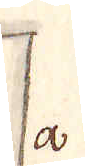a
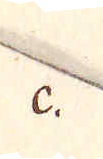c.
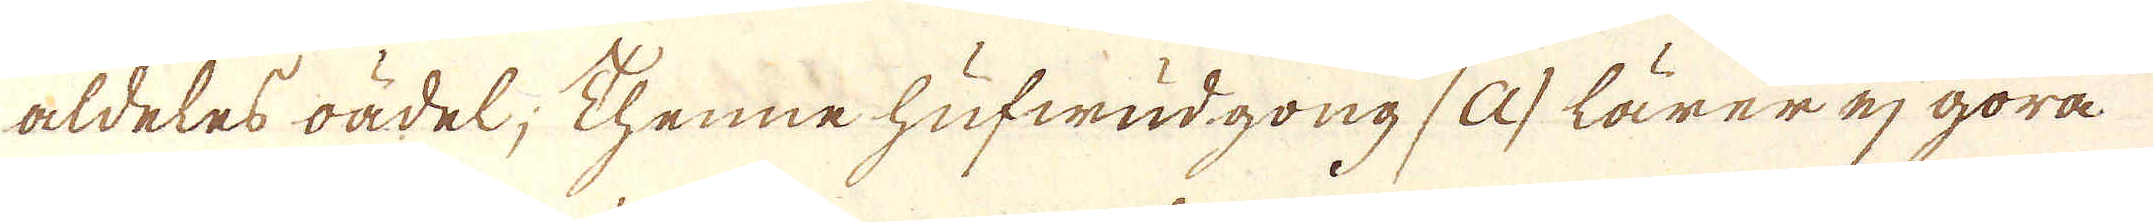aldeles oädel; Thenne hufwudgong (a) lärer ej göra
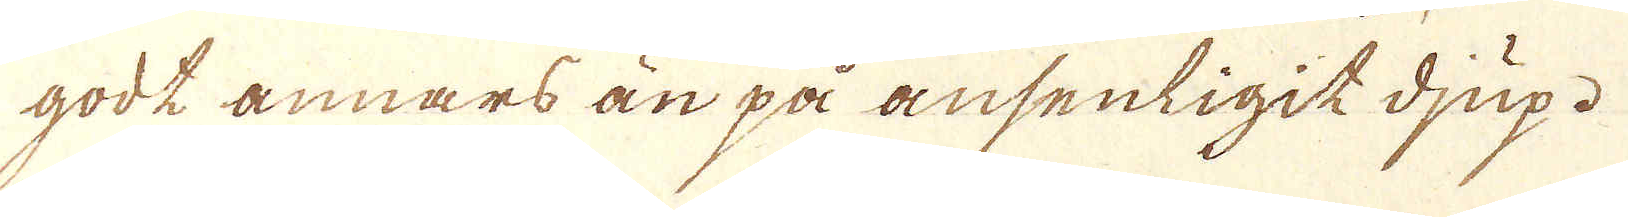godt annars än på ansenligit djup.
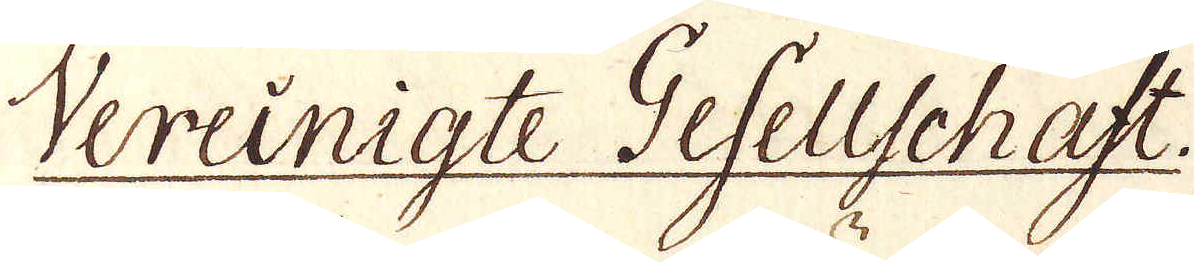Vereinigte Gefellschaft.
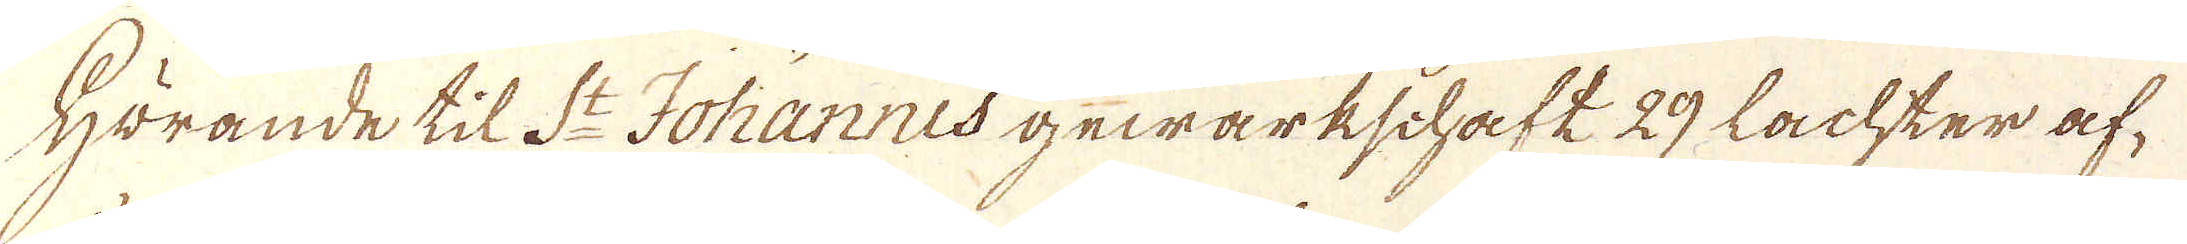Hörande til St Johannes gewärkschaft 29 Lachter af-
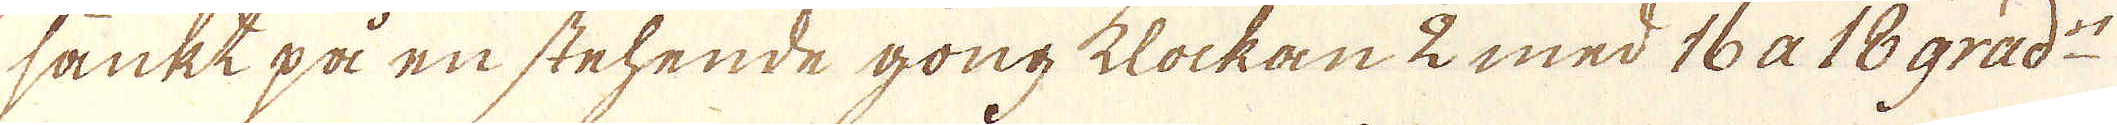sänkt på en stehende gong klockan 2 med 16 a 18 grad:r
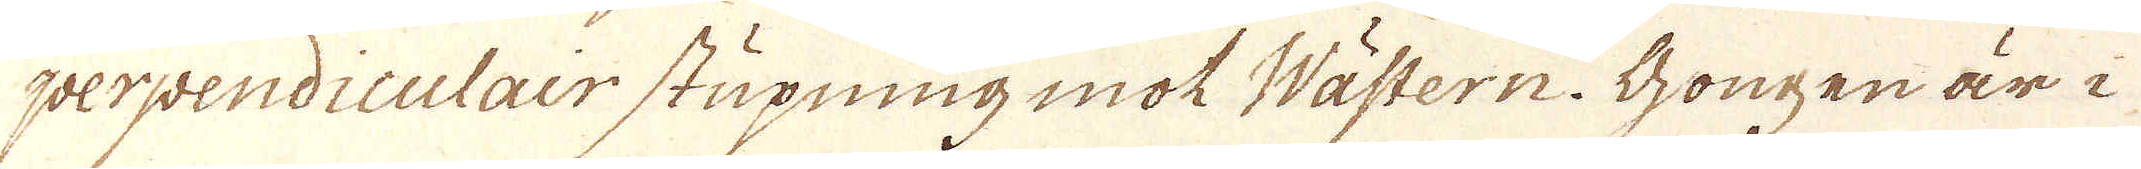perpendiculair stupning mot Wästern: Gongen är i
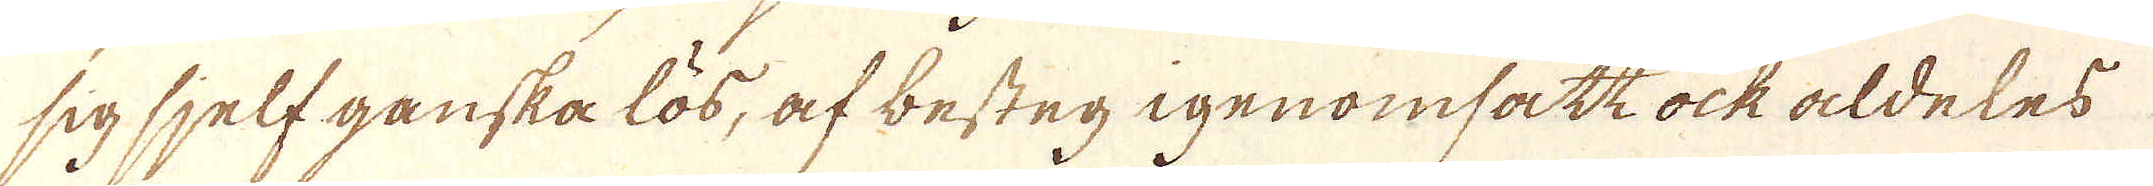sig sjelf ganska lös, af besteg igenomsatt ock aldeles
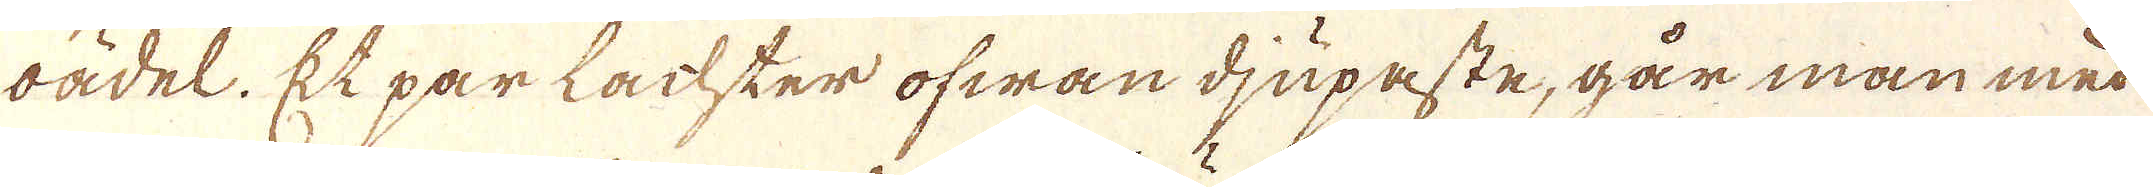oädel. Et par lachter ofwan djupaste, går man med
